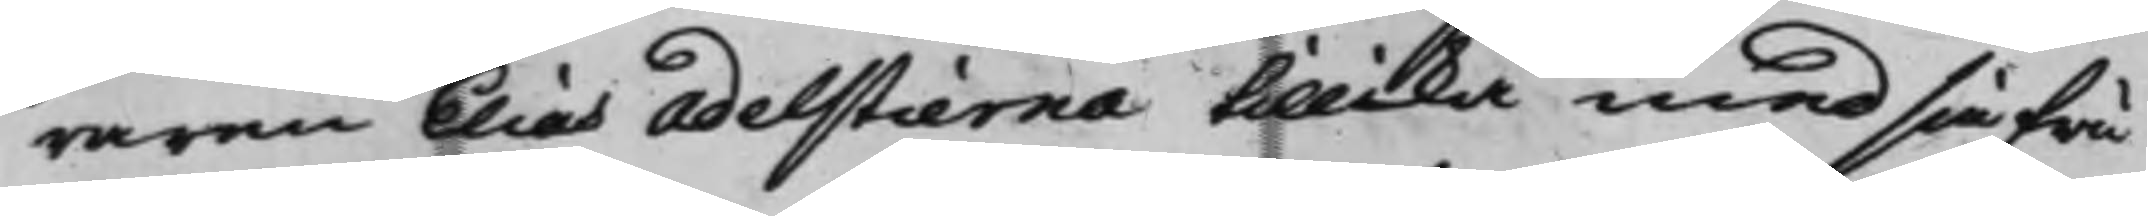raren Elias Adelstierna tillika med sin Fru
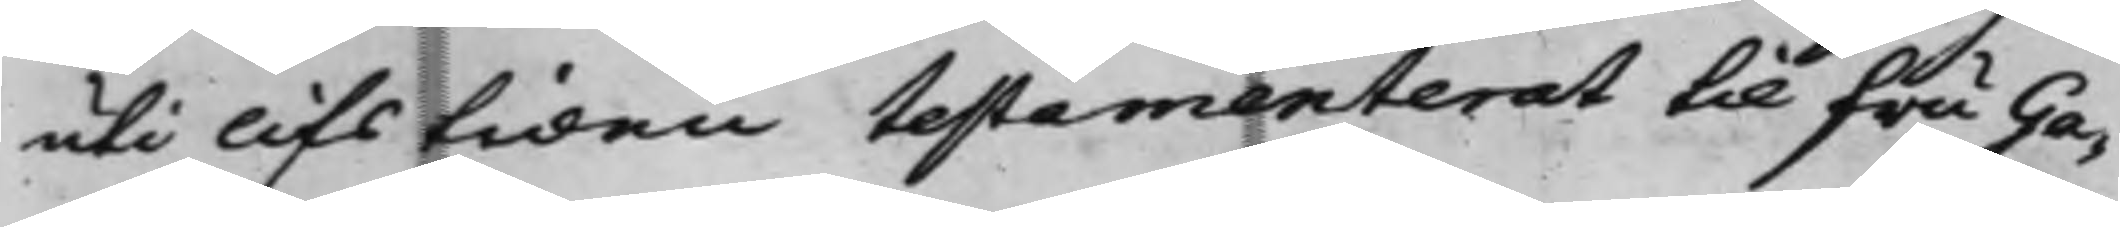uti lifstiden testamenterat till fru Ga¬
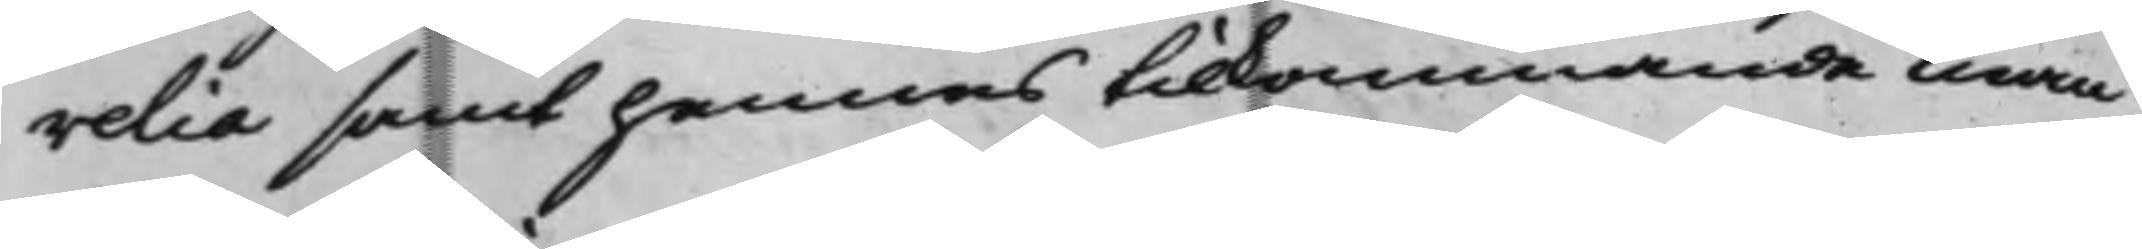relia samt hennes tillkommande man
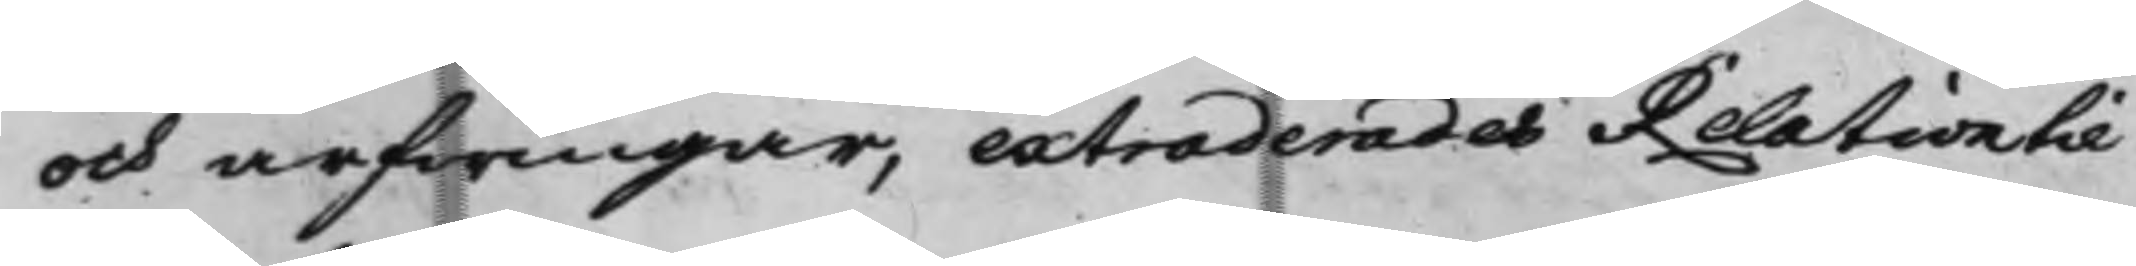och arfwingar, extraderades Relation til
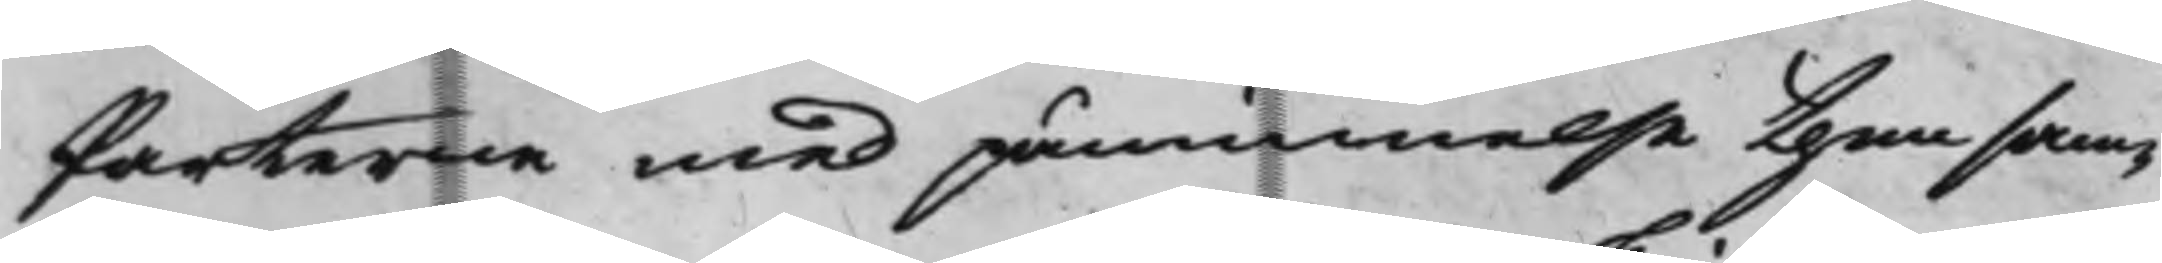Parterne med påminnelse themsam¬
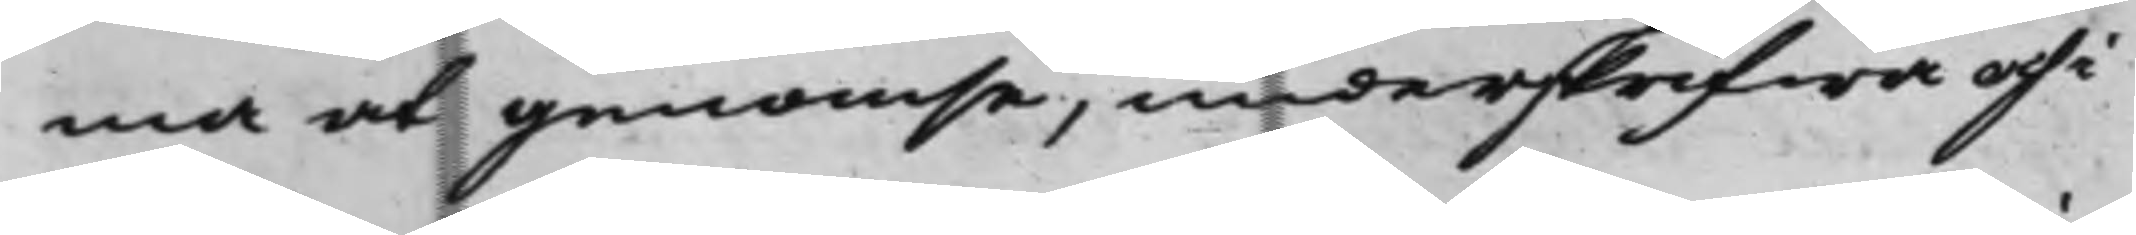ma at genomse, underskrifwa och i
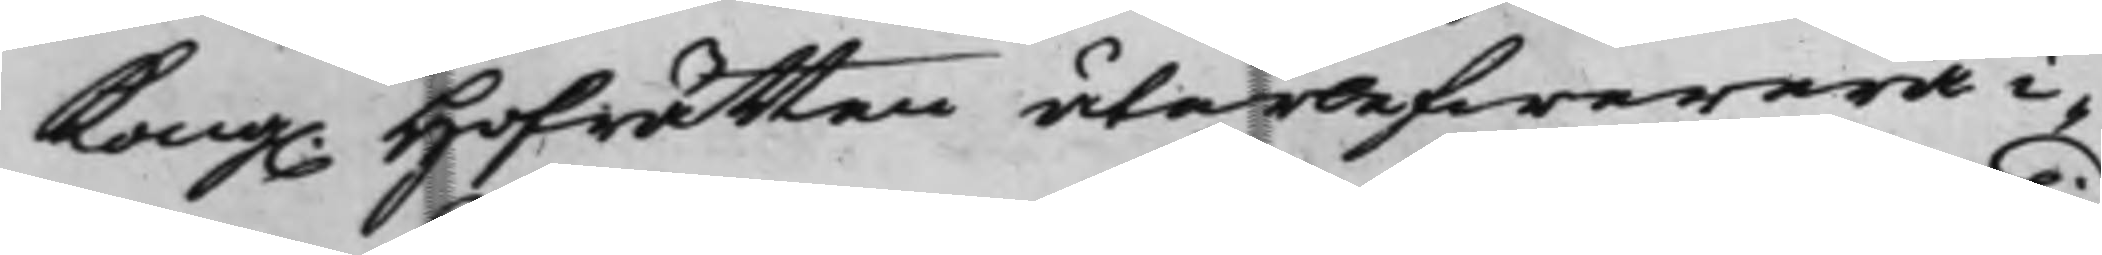Kong. Hofrätten återlefwerera i¬
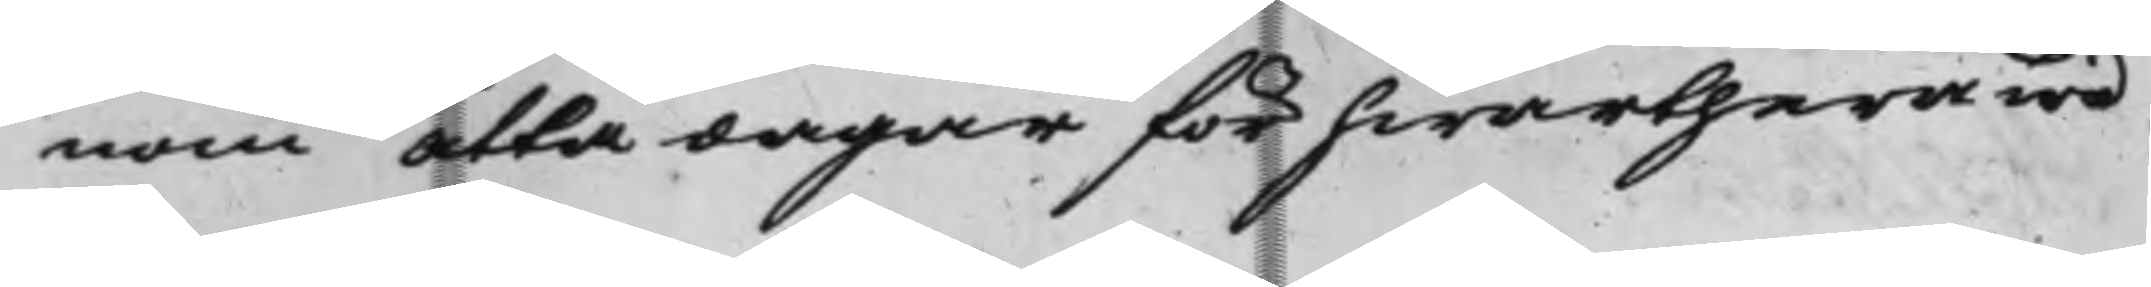nom åtta dagar för hwarthera wid
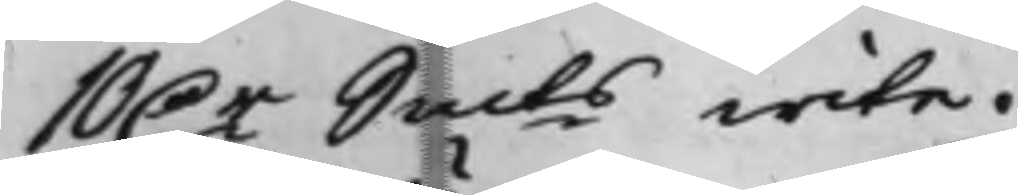10 D.r Smts wite.
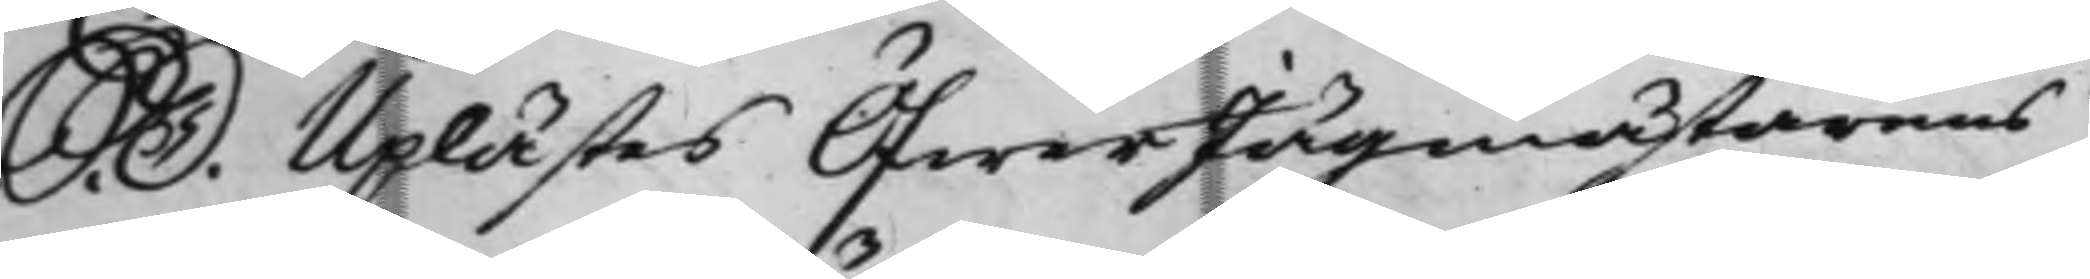S. D. Uplästes ÖfwerJägmästarens
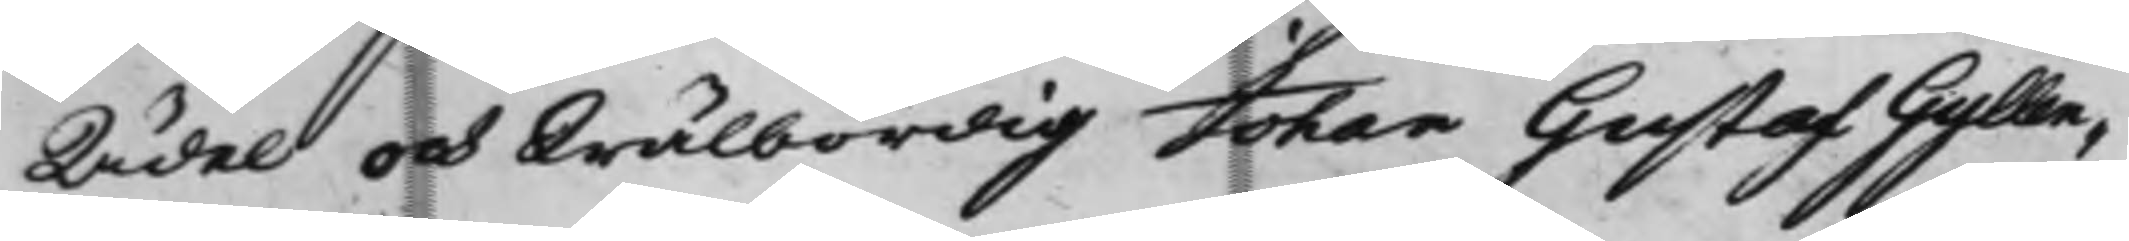Ädel och Wälbördig Johan Gustaf Gyllen¬
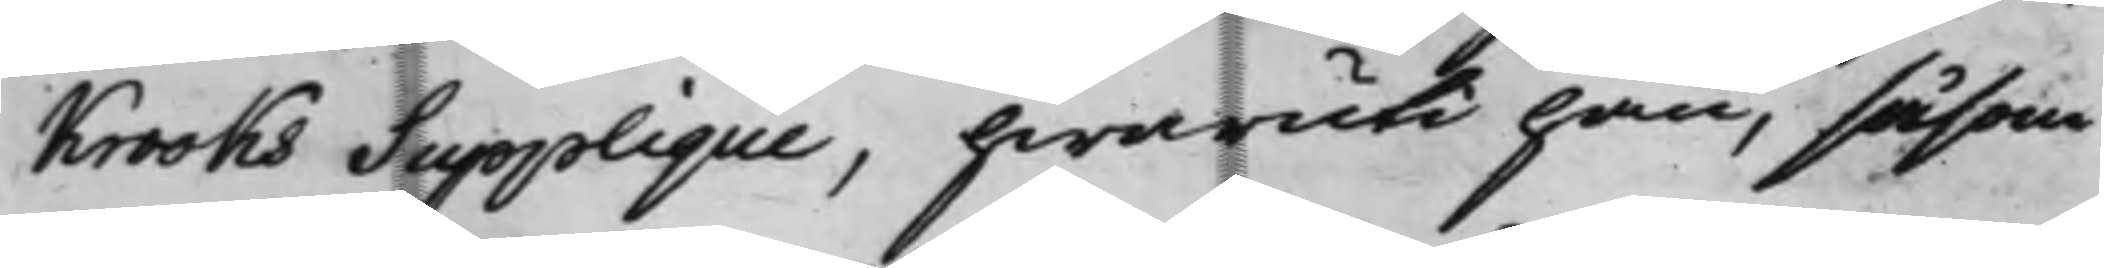krooks Supplique, hwaruti han, såsom
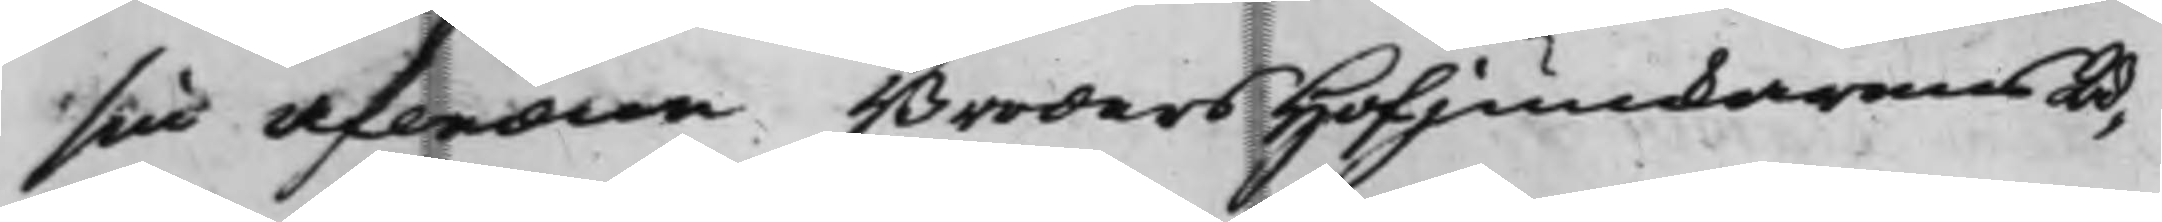sin afledne Broders HofJunkarens Ä¬
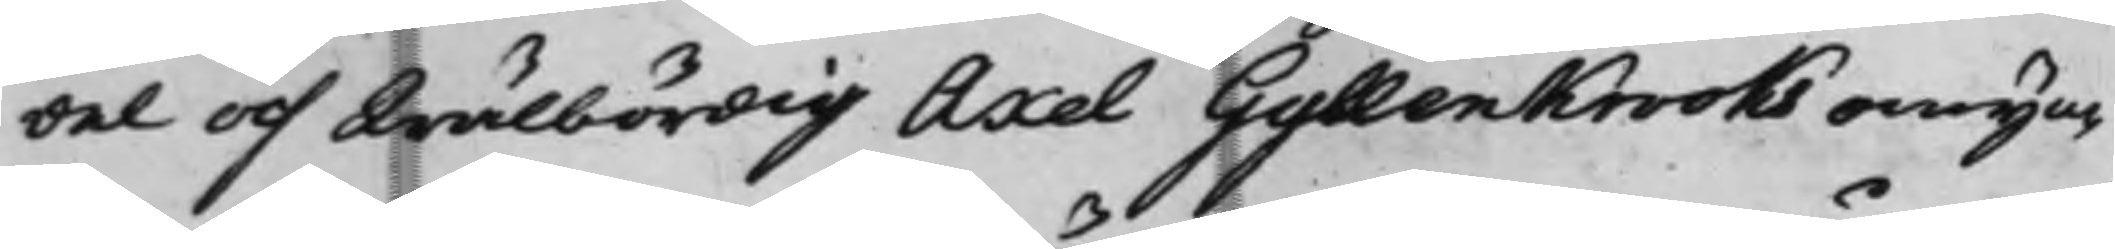del och Wälbördig Axel Gyllenkrooks omyn¬
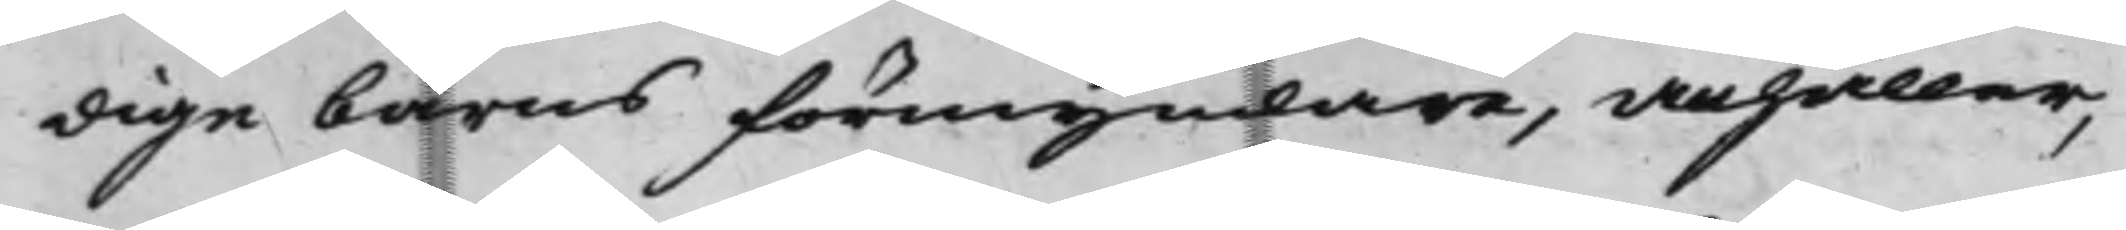dige barns förmyndare, anhåller,
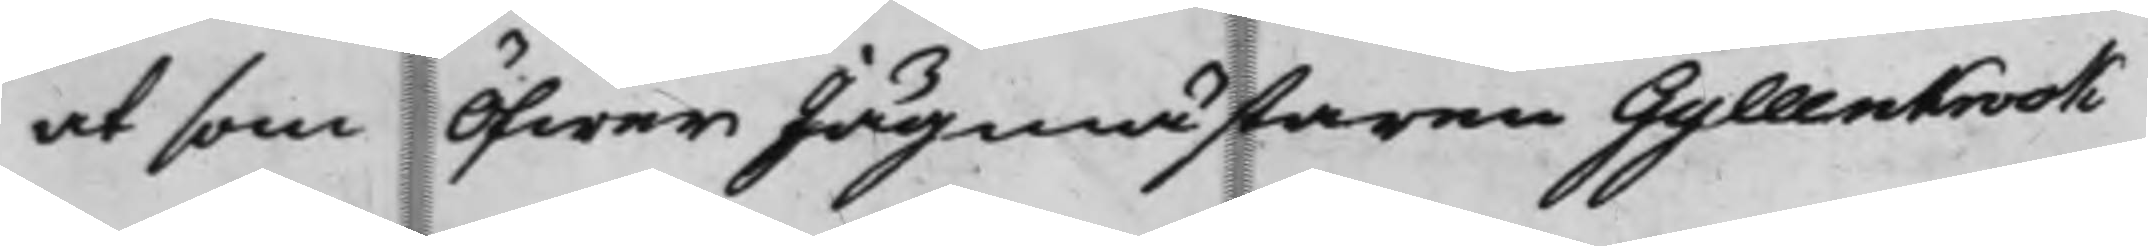at som ÖfwerJägmästaren Gyllenkrook
